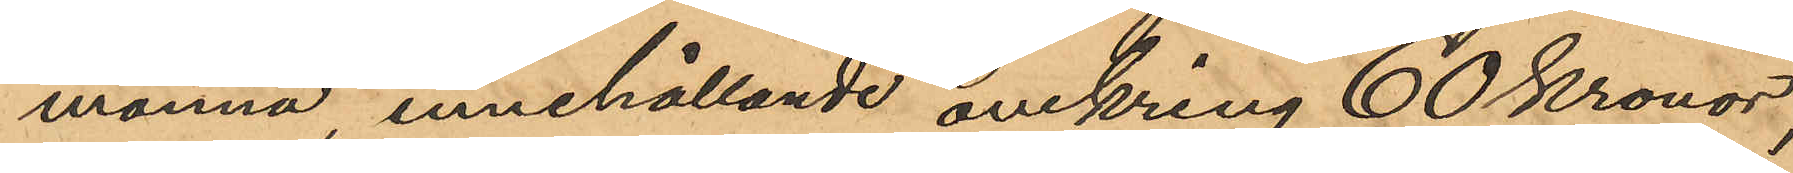monnä, innehållande omkring 60 Kronor,
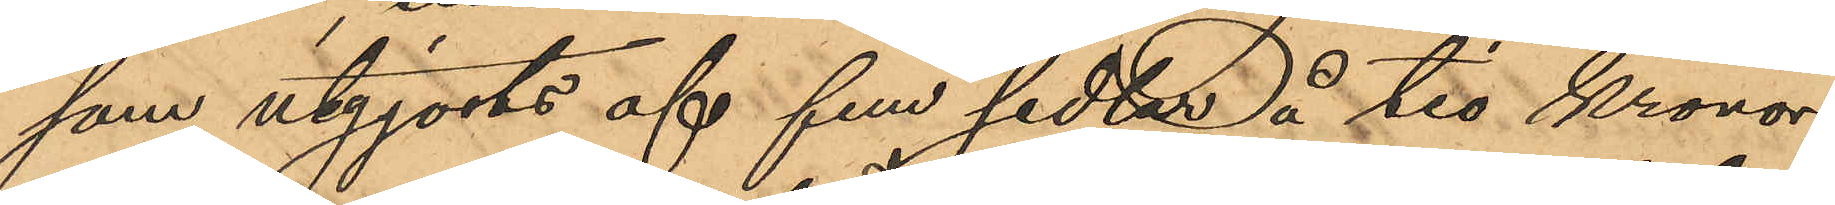som utgjorts af fem sedlar å tio Kronor
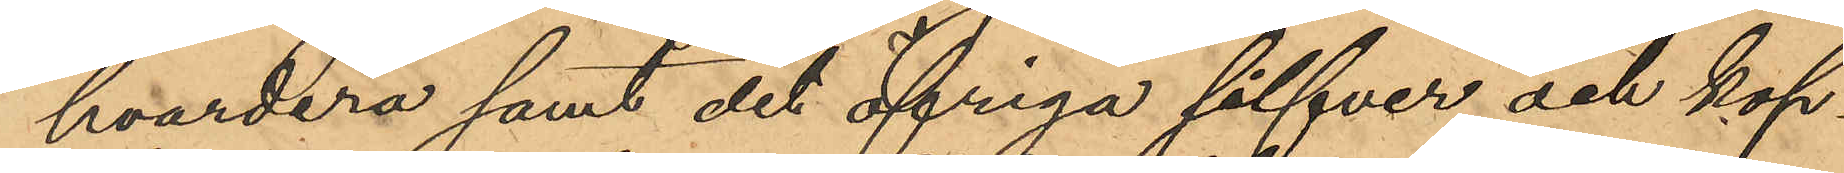hvardera samt det öfriga silfver och kop¬
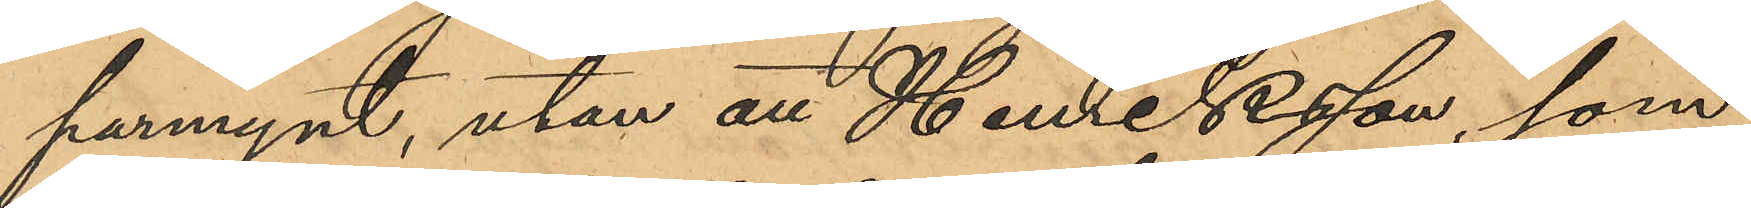parmynt, utan att Henriksson, som
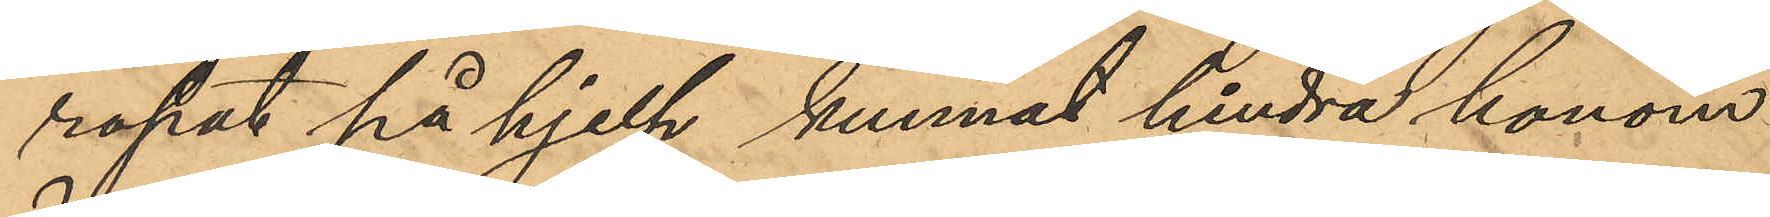ropat på hjelp kunnat hindra honom
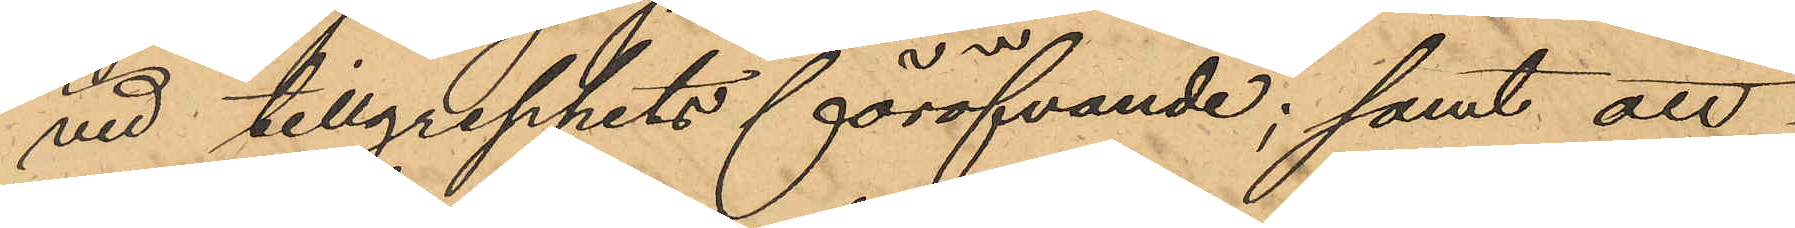vid tillgreppets föröfvande; samt att
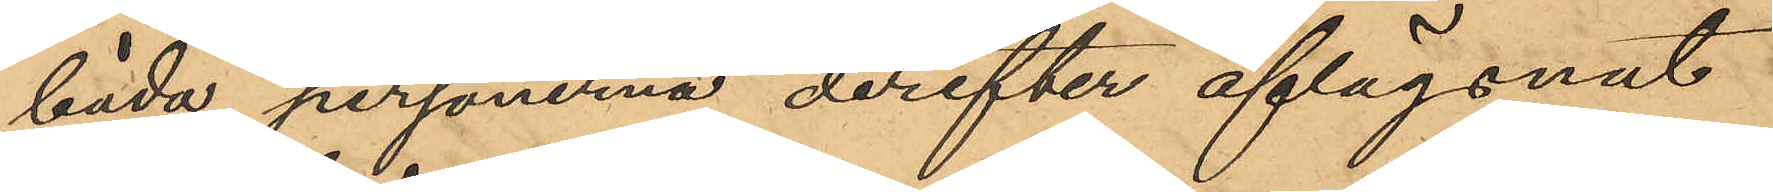båda personerna derefter aflägsnat
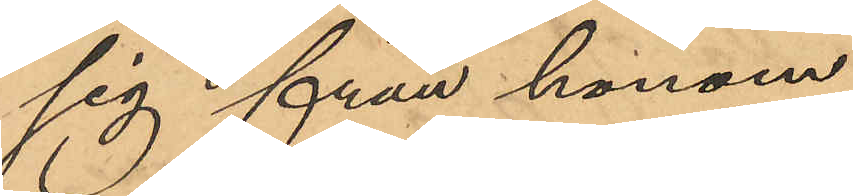sig från honom.
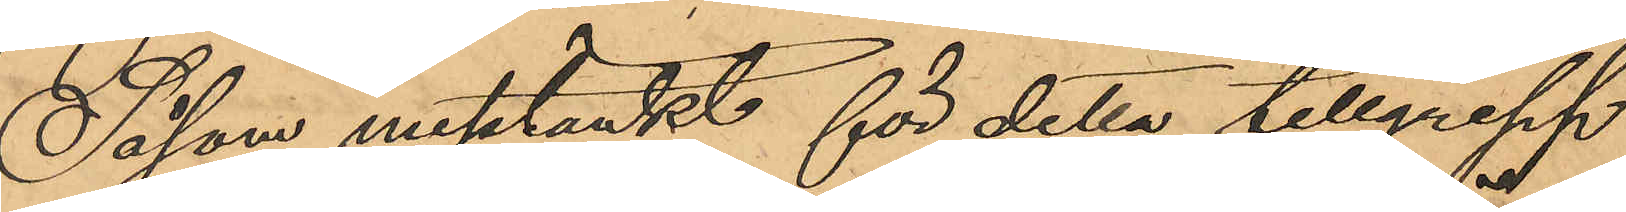Såsom mistänkt för detta tillgrepp
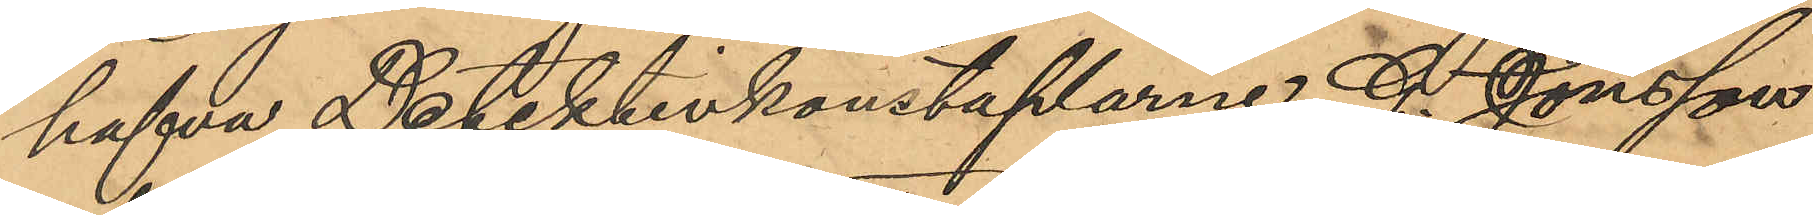hafva Detektivkonstaplarne G. Jönsson
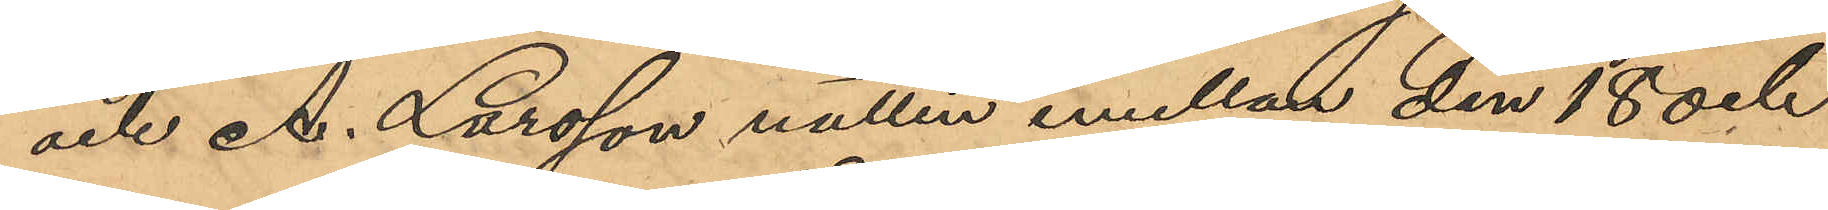och A. Larsson natten emellan den 18 och
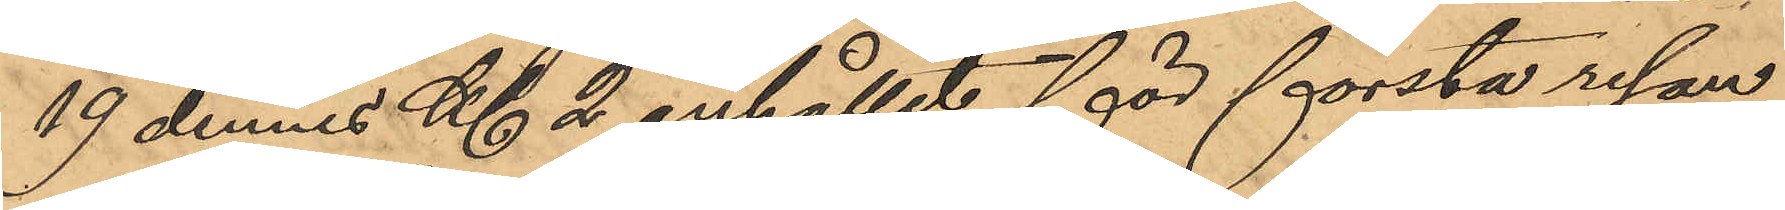19 dennes Kl 2 anhållit för första resan
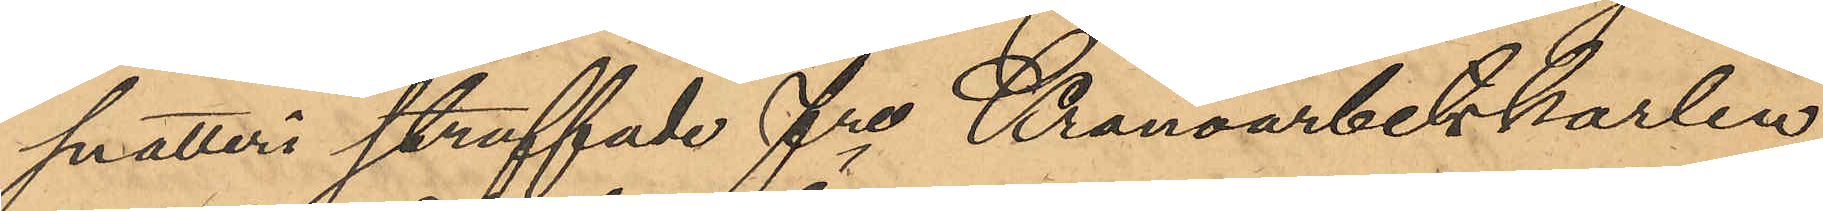snatteri straffade fre Kronoarbetskarlen
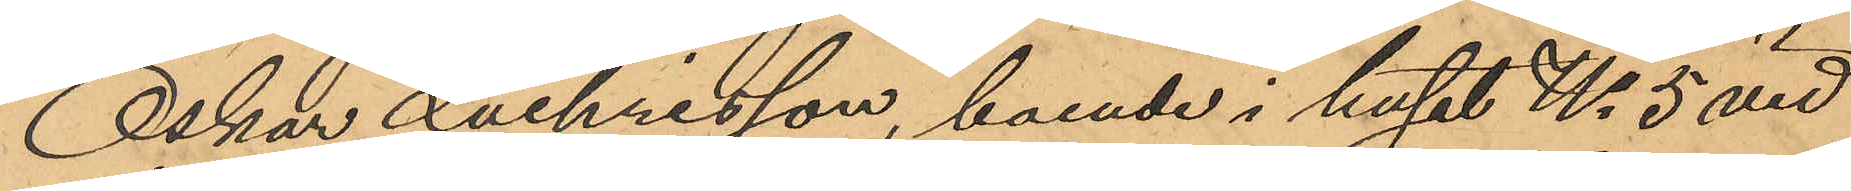Oskar Zachrisson, boende i huset No 5 vid
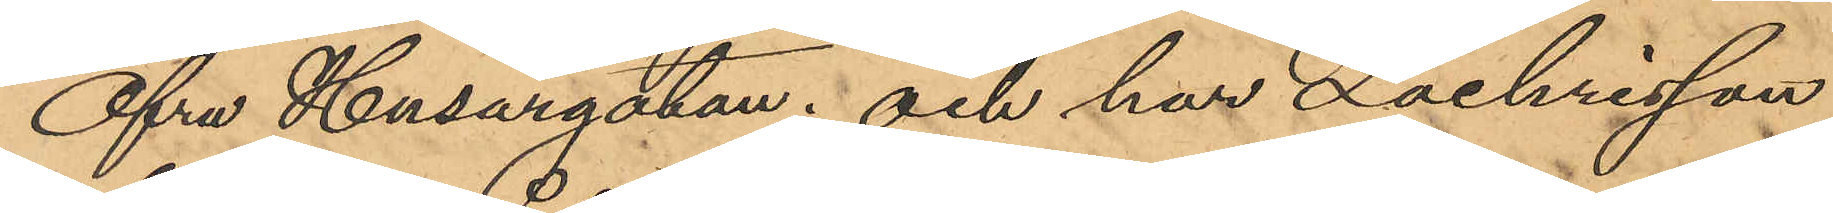Öfra Husargatan; och har Zachrisson,
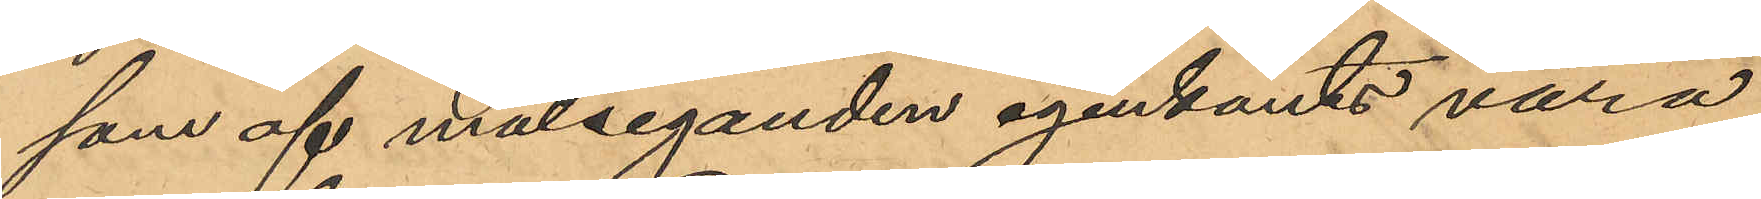som af målseganden igenkänts vara
